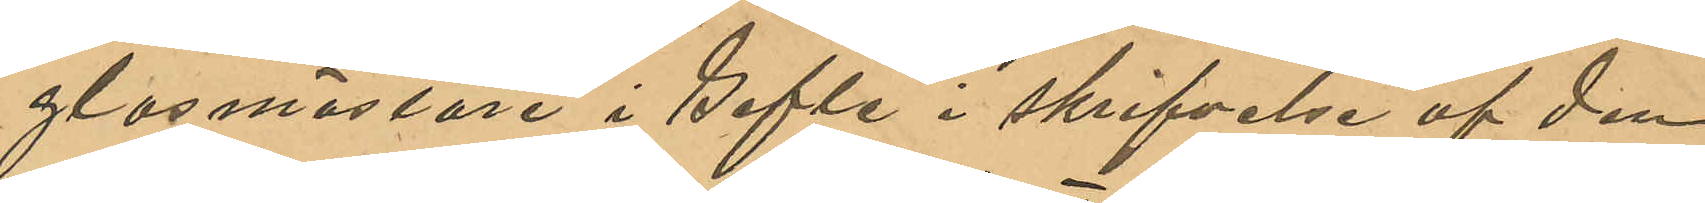glasmästare i Gefle i skrifvelse af den
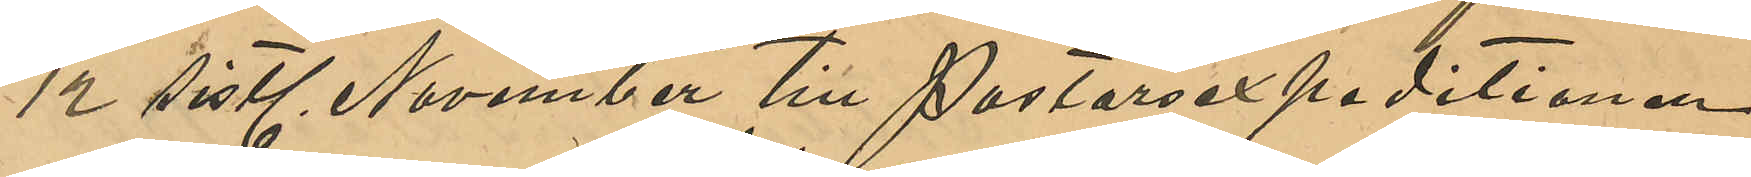12 sistl November till Pastorsexpeditionen
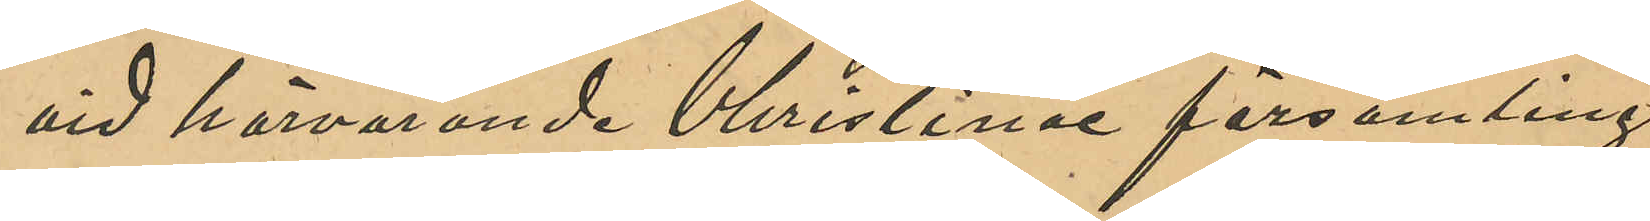vid härvarande Christine församling
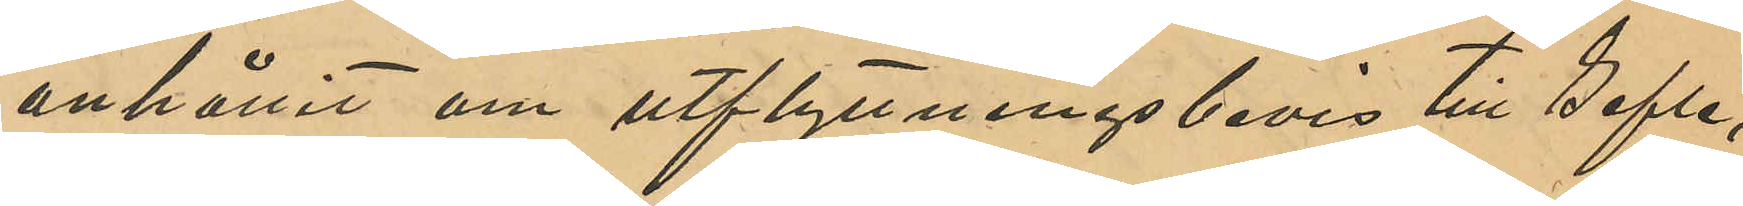anhållit om utflyttningsbevis till Gefle,
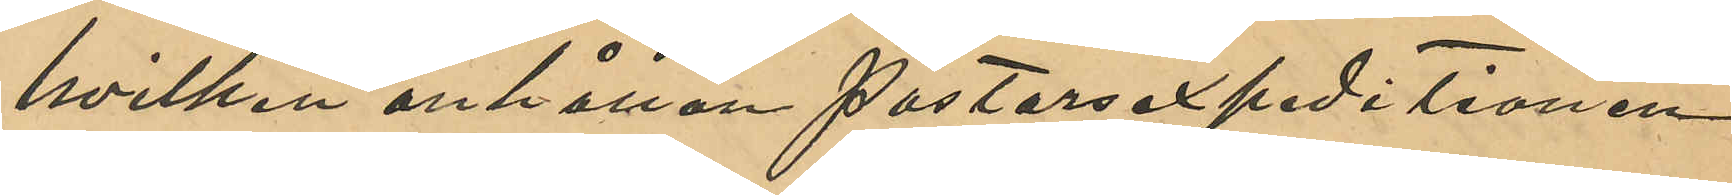hvilken anhållan Pastorsexpeditionen
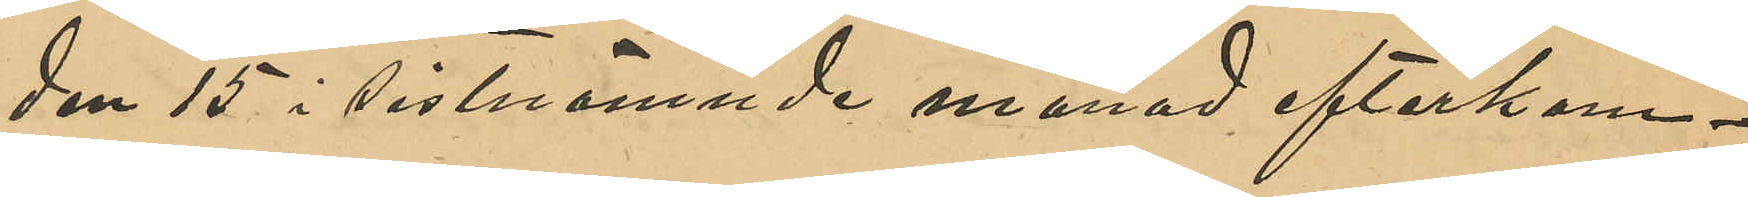den 15 sistnämnde månad efterkom¬
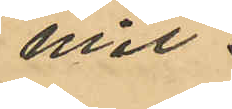mit.
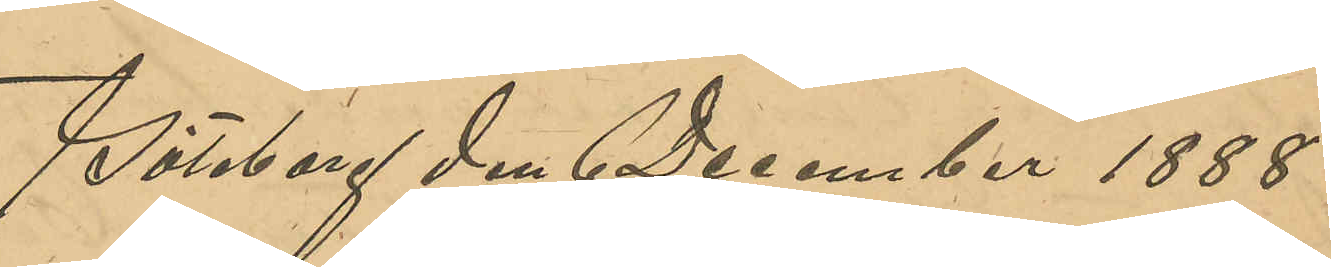Göteborg den 6 December 1888.
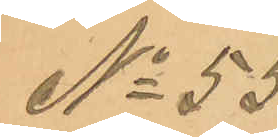No 55
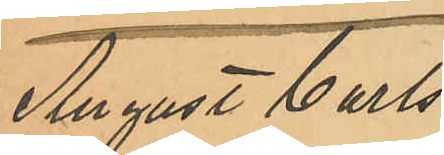August Carls¬
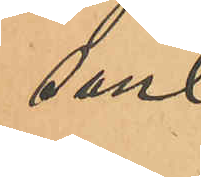son
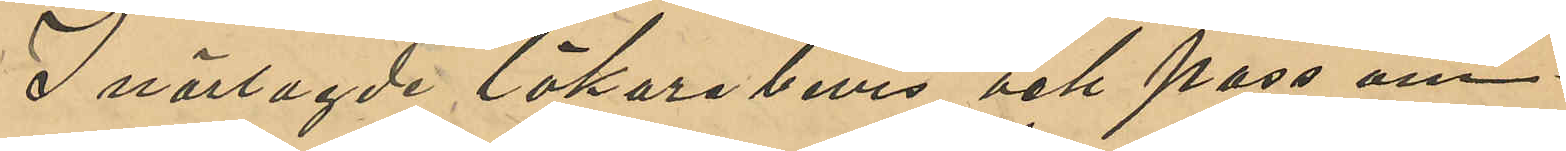I närlagde läkarebevis och pass om¬
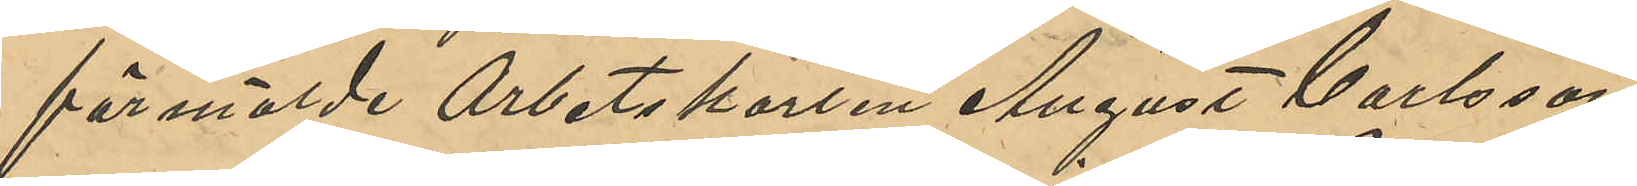förmälde Arbetskarlen August Carlsson
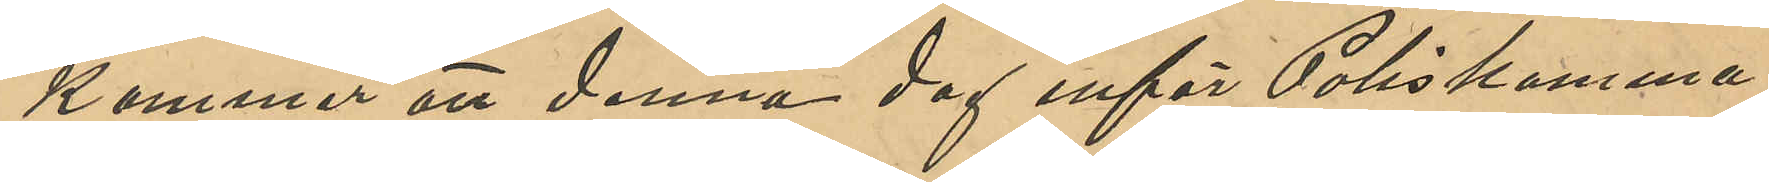kommer att denna dag inför Poliskamma¬
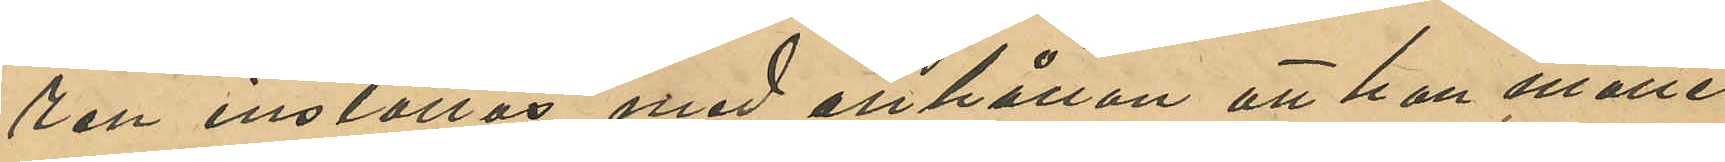ren inställas med anhållan att han måtte
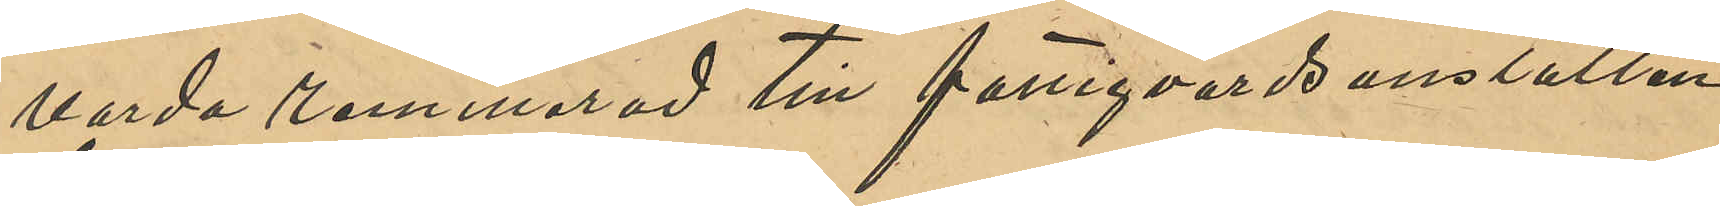varda remitterad till fattigvårdsanstalten
